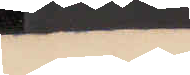1885
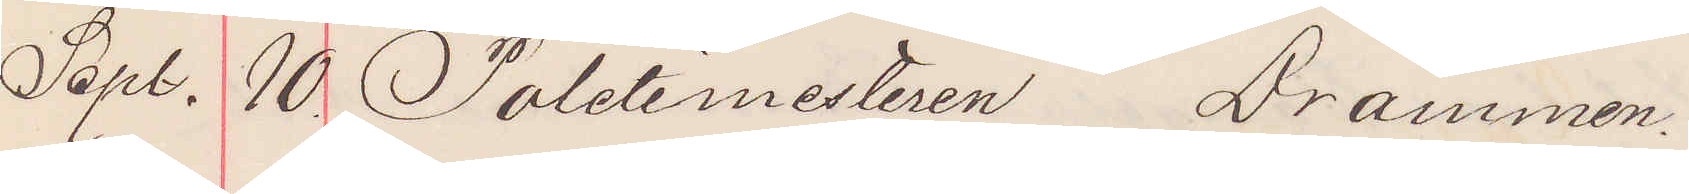Sept. 10 Poletimesteren Drammen.
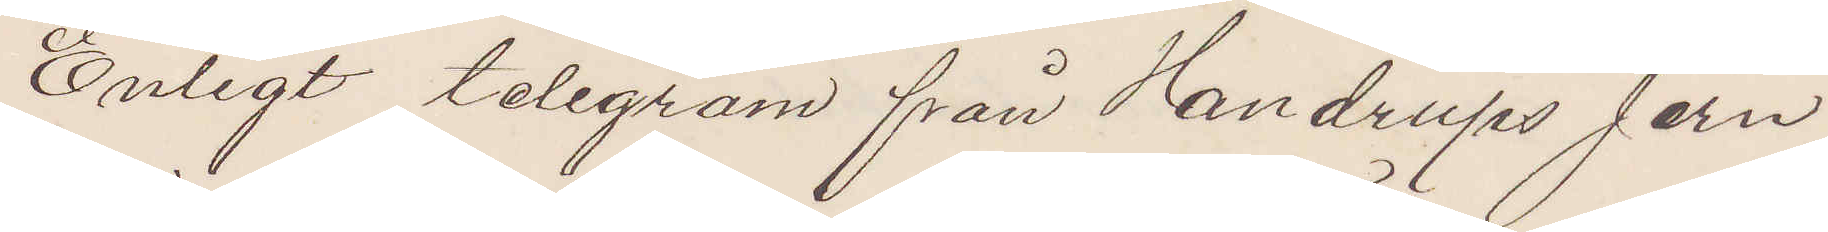Enligt telegram från Handrups Jern¬
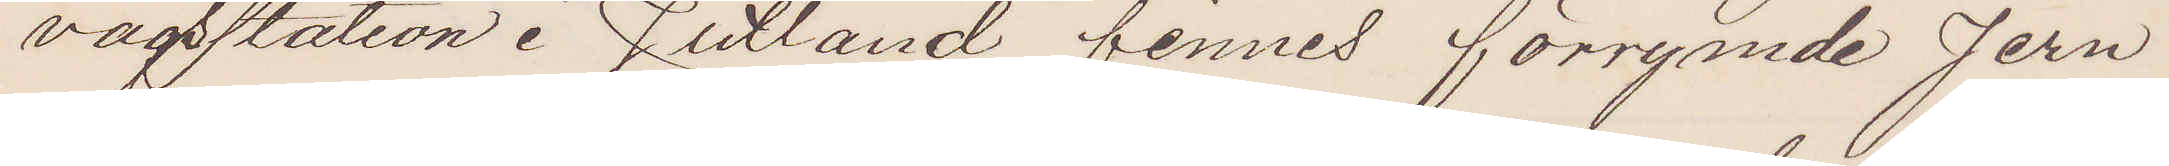vägsstation i Jutland finnes förrymde Jern¬
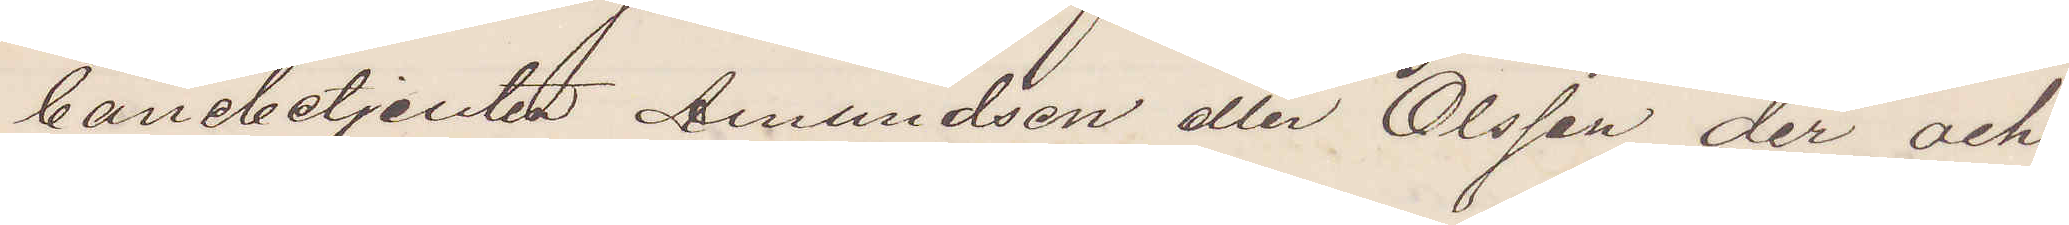banebetjenten Amundsen eller Olsson der och
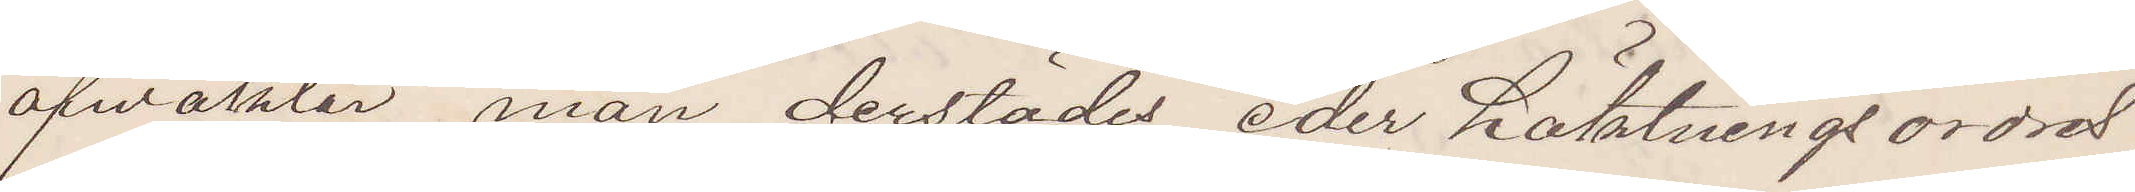afwaktar man derstädes eder häktningsordret
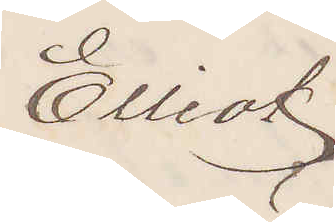Elliot
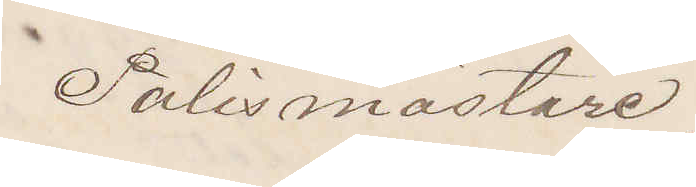Polismästare
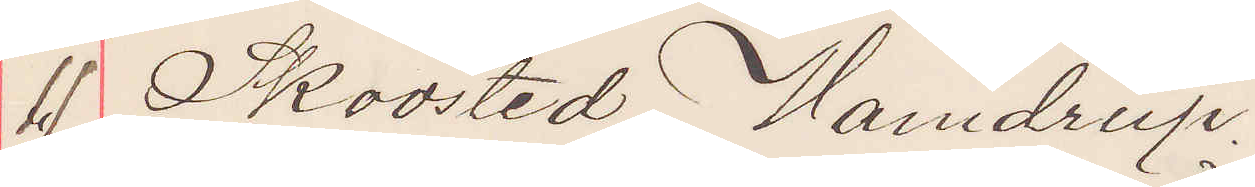 11 Skoosted Hamdrup.
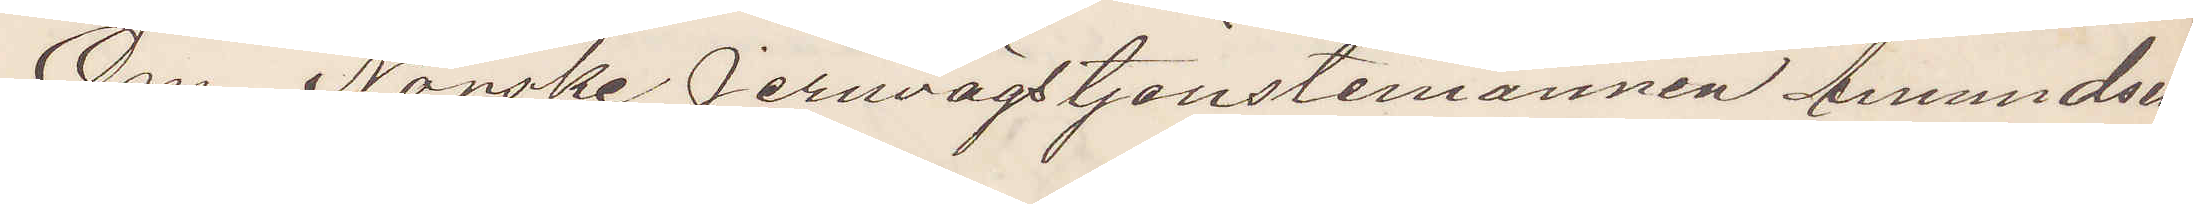Om Norske Jernvägstjenstemannen Amundsen
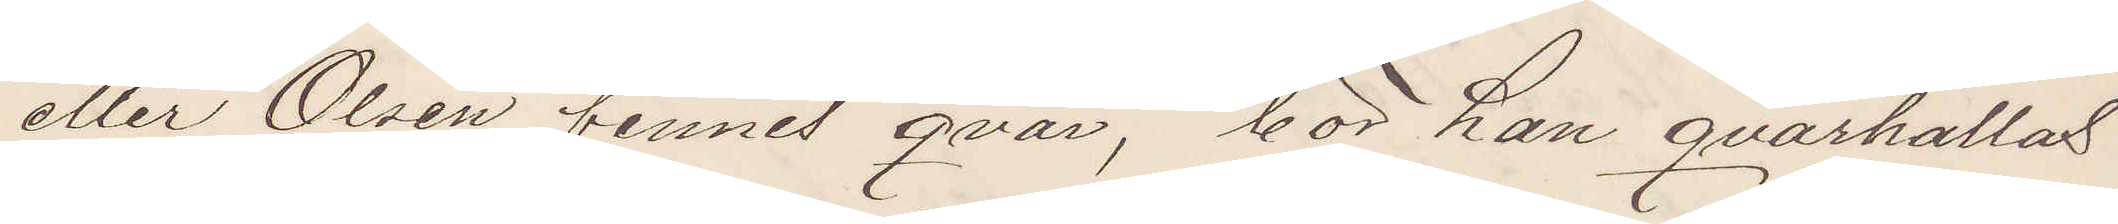eller Olsen finnes qvar, bör han qvarhållas
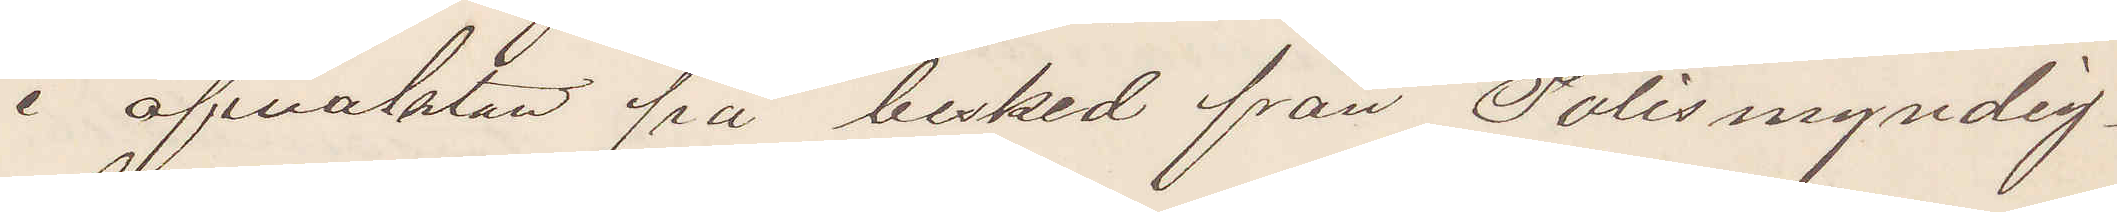i afvaktan på besked från Polismyndig¬
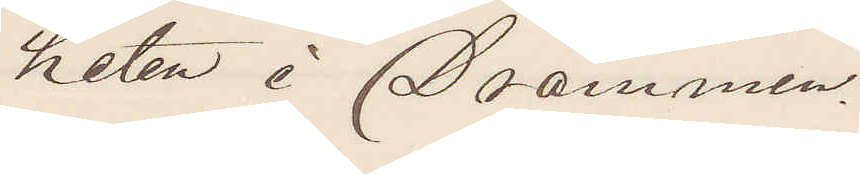heten i Drammen.
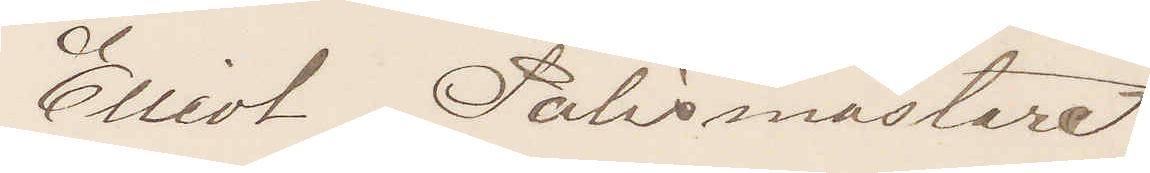Elliot Polismästare
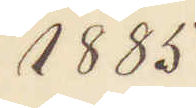1885
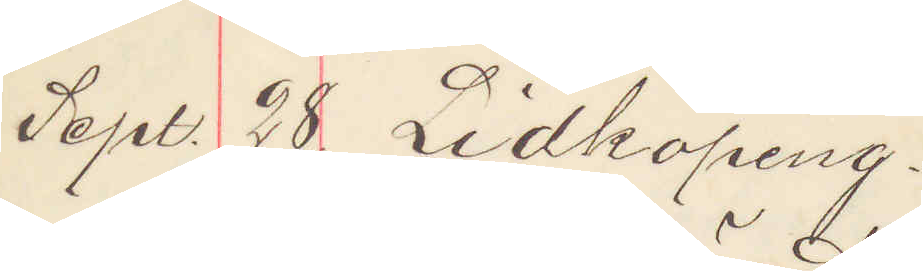Sept. 28 Lidköping.
